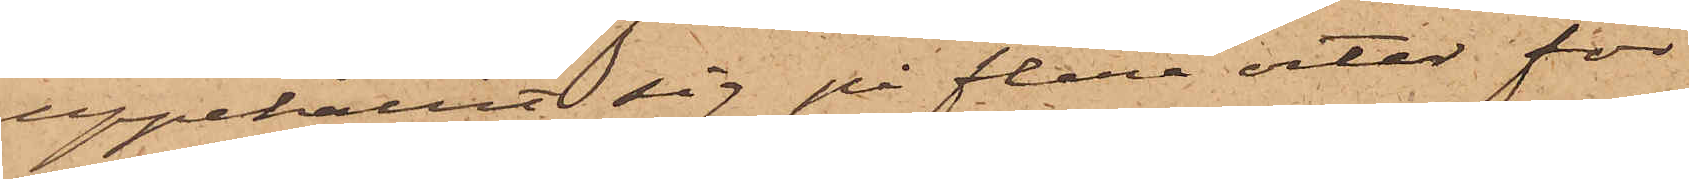uppehållit sig på flera orter för
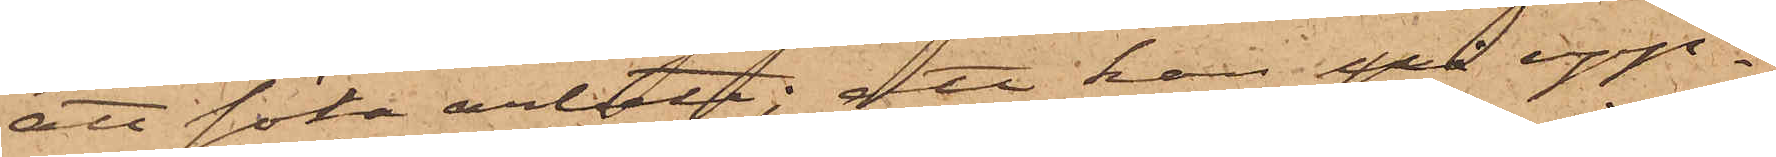att söka arbete; att han på upp¬
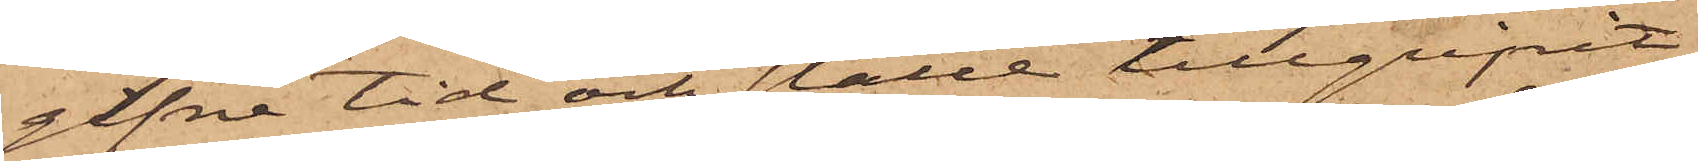gifne tid och ställe tillgripit
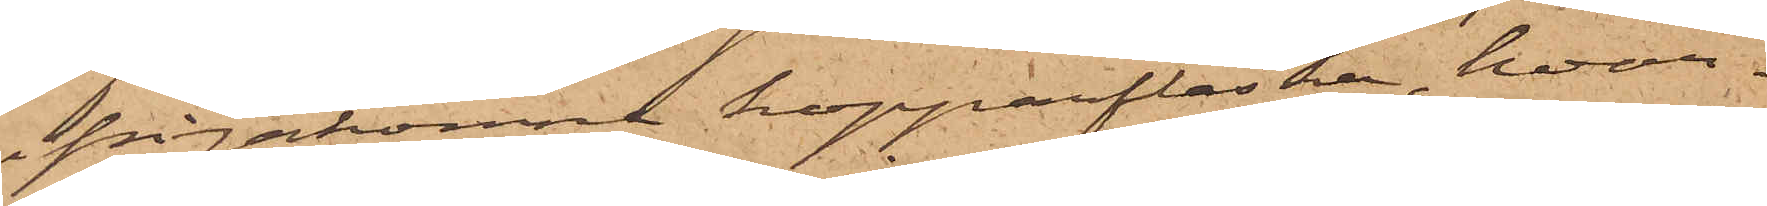ifrågakomne kopparflaska, hvar¬
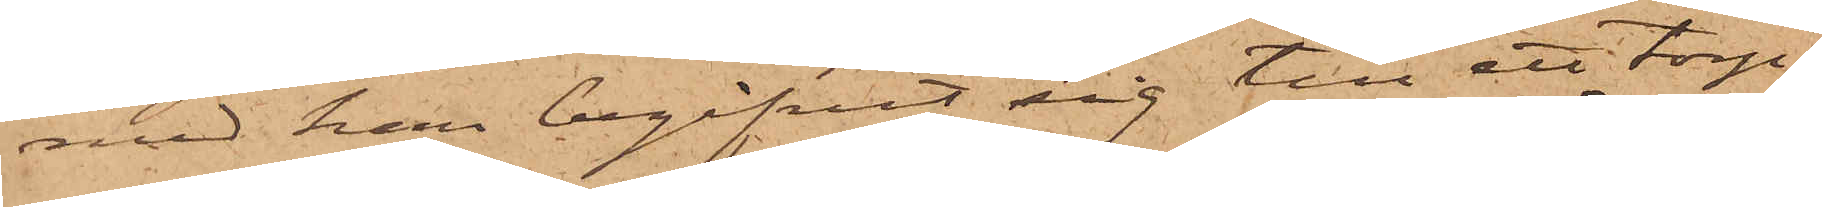med han begifvit sig till ett torp
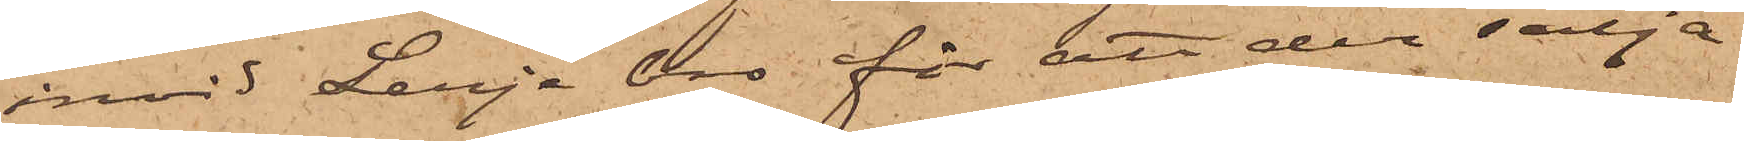invid Lerje bro för att der sälja
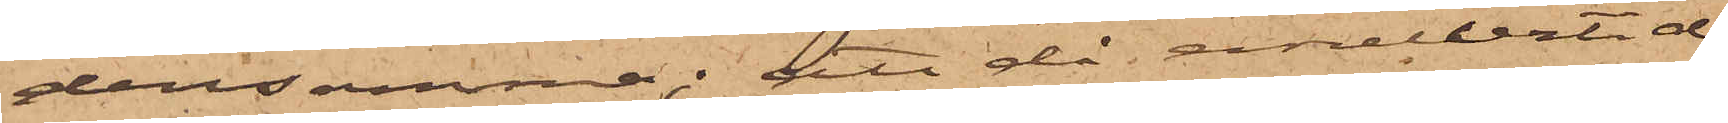densamma; att då emellertid
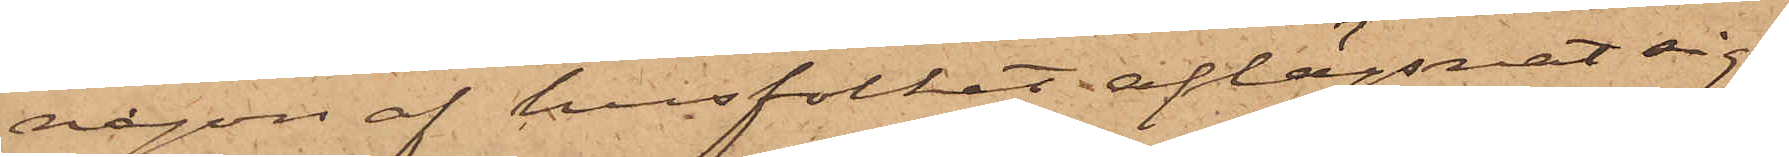någon af husfolket aflägsnat sig,
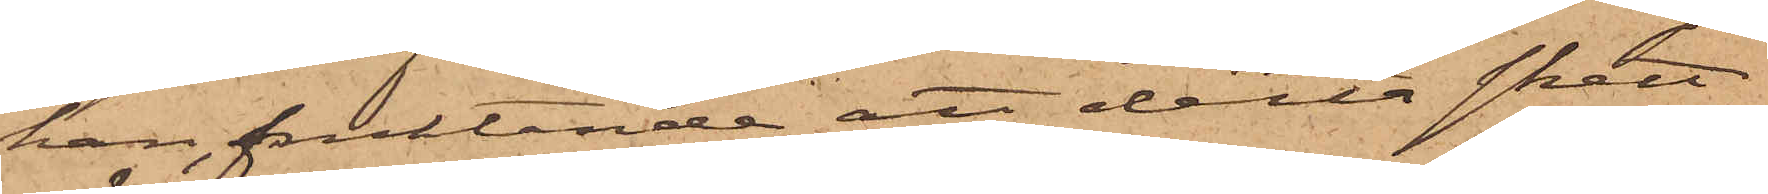han, fruktande att detta skett
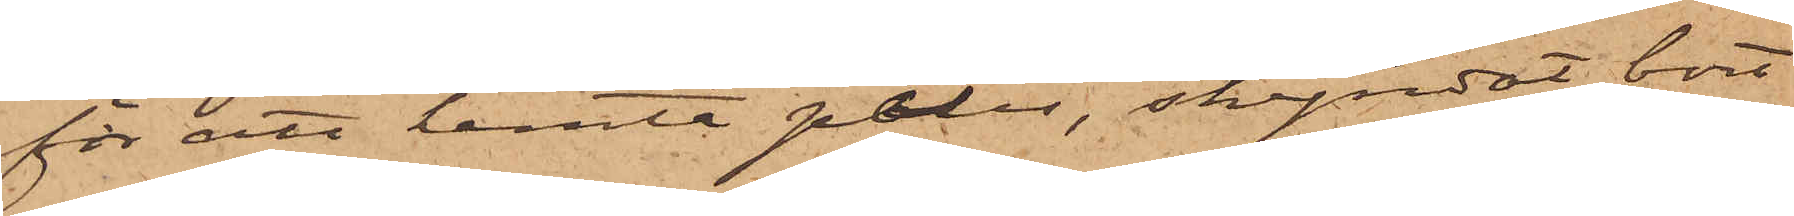för att hemta polis, skyndat bort
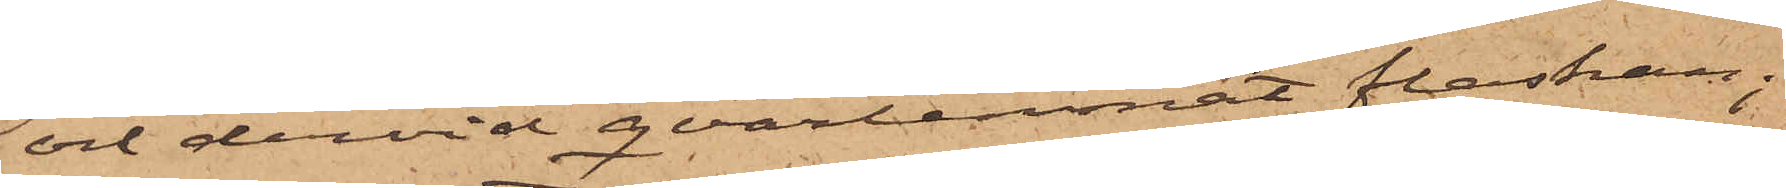och dervid qvarlemnat flaskan;
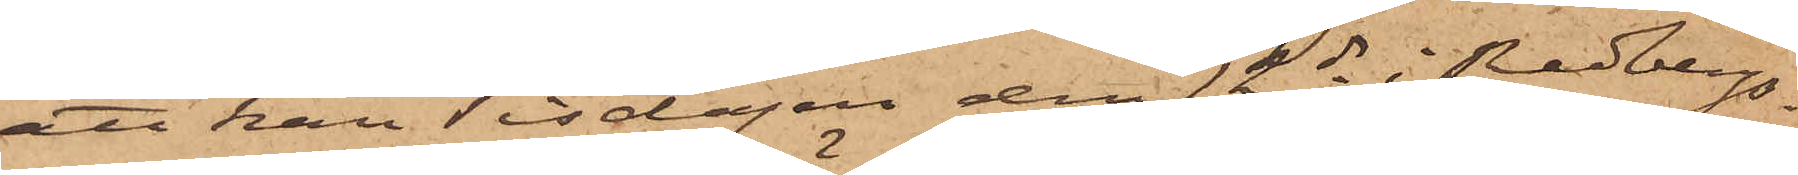att han Tisdagen den 12 ds i Redbergs¬
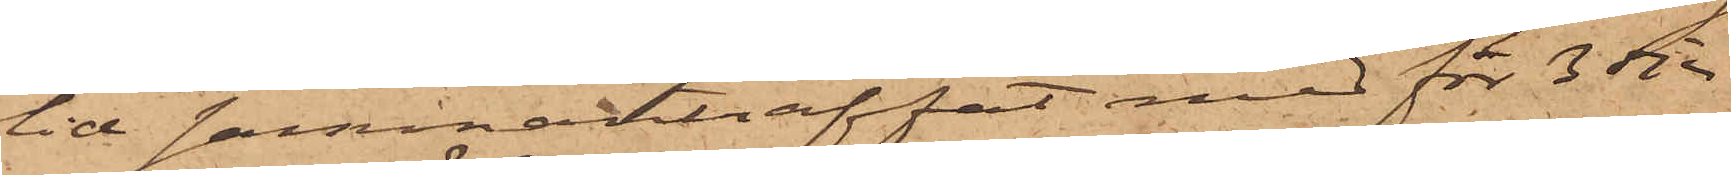lid sammanträffat med för 3dje
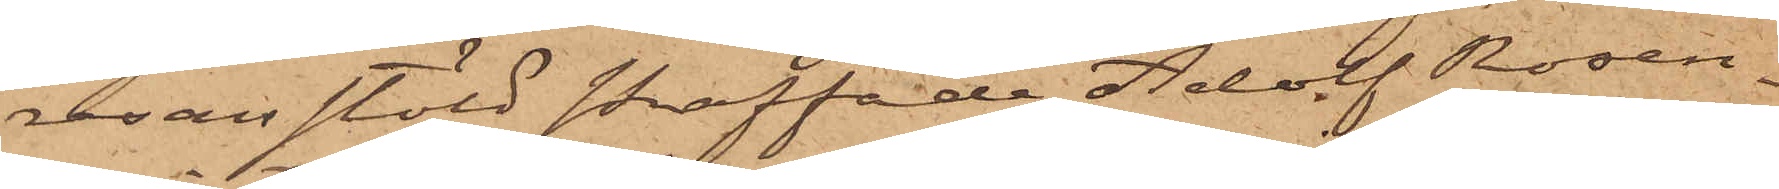resan stöld straffade Adolf Rosen¬
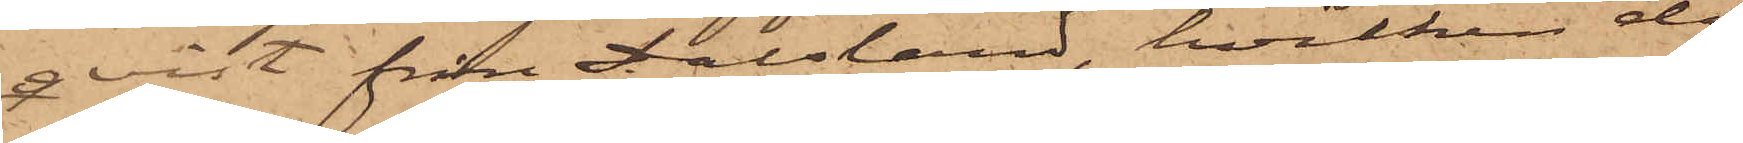qvist från Dalsland, hvilken då
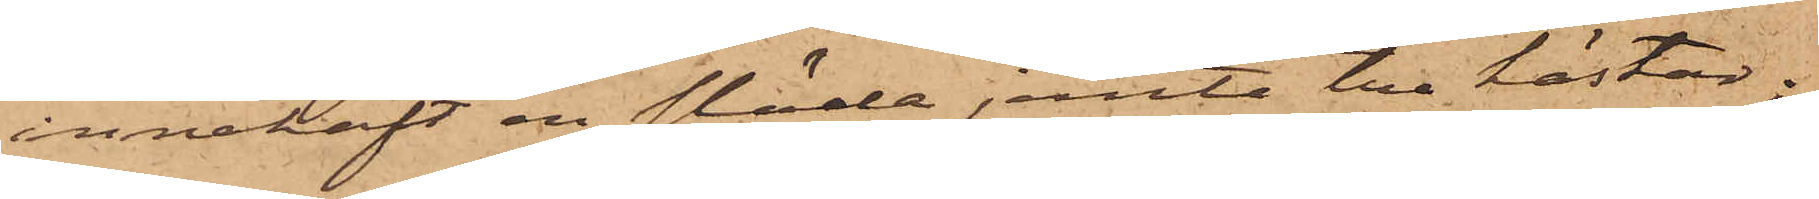innehaft en släde jemte tre hästar;
